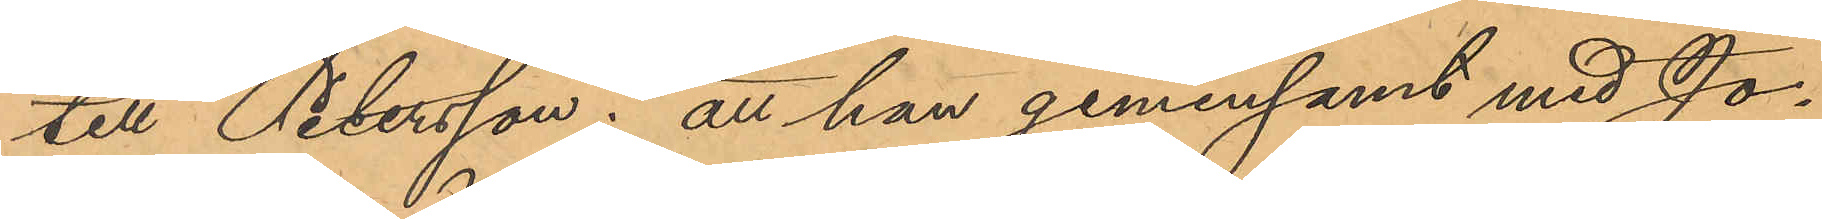till Petersson; att han gemensamt med Jo¬
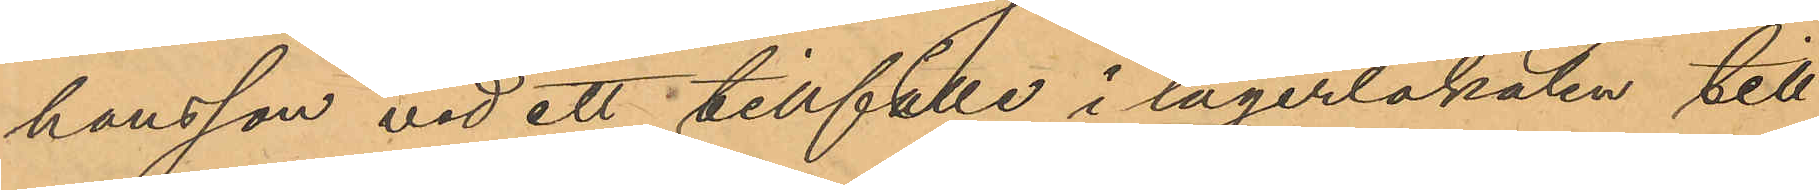hansson vid ett tillfälle i lagerlokalen till¬
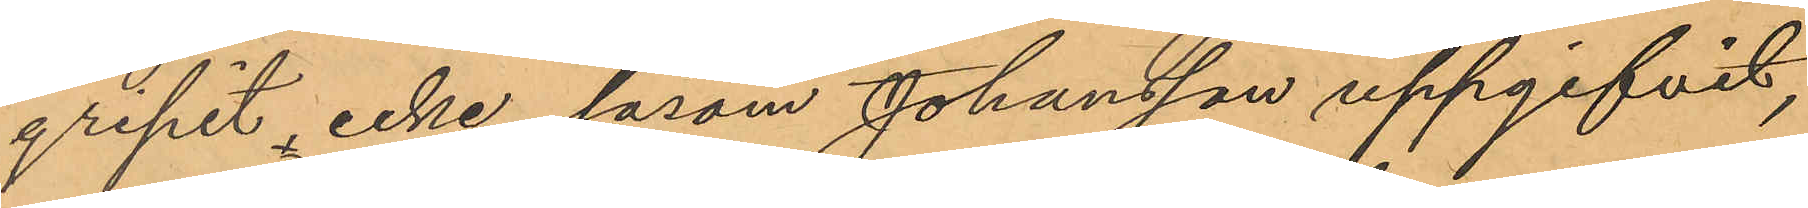gripit, icke såsom Johansson uppgifvit,
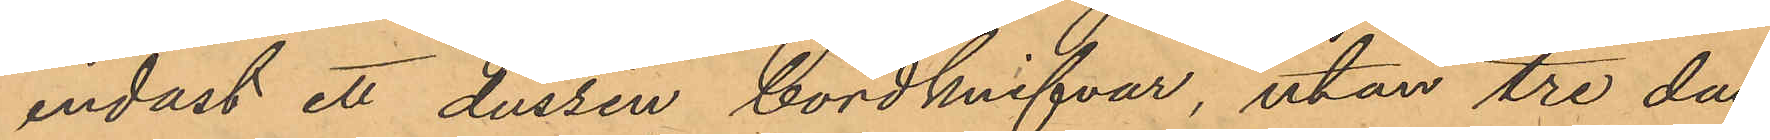endast ett dussin bordknifvar, utan tre dus¬
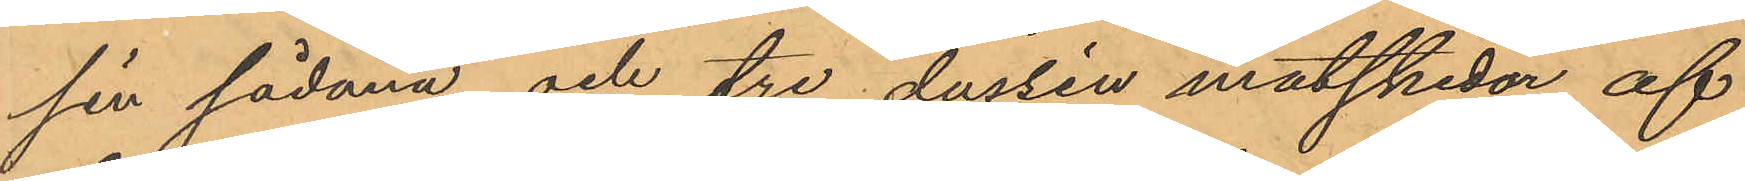sin sådana och tre dussin matskedar af
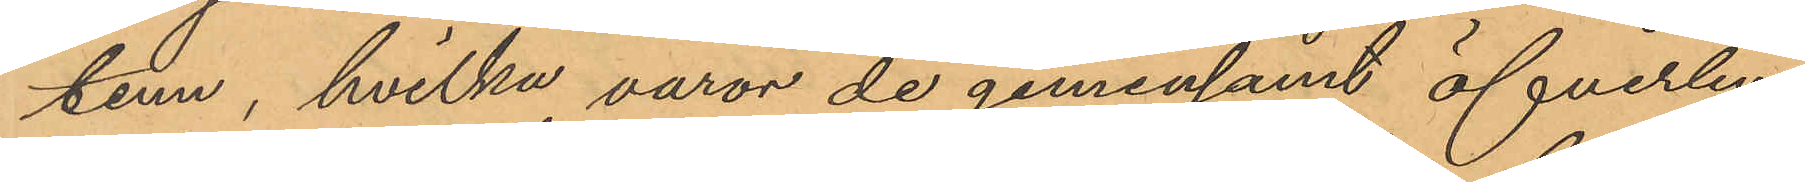tenn, hvilka varor de gemensamt öfverlem¬
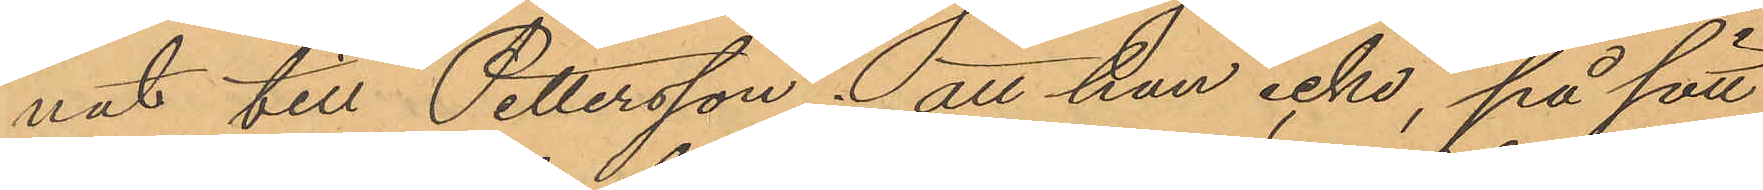nat till Pettersson, att han icke, på sätt
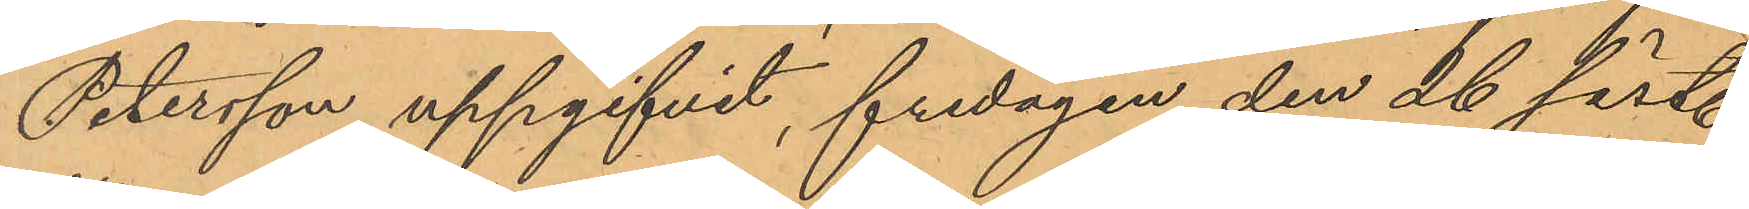Petersson uppgifvit, fredagen den 26 sist.
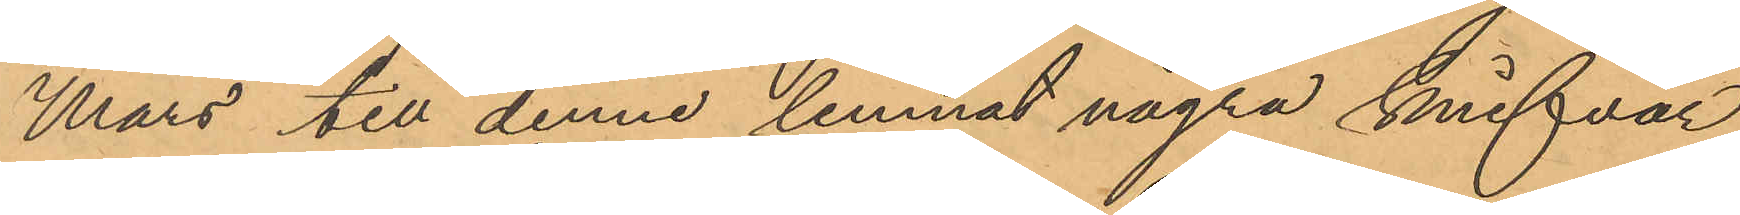Mars till denne lemnat några knifvar
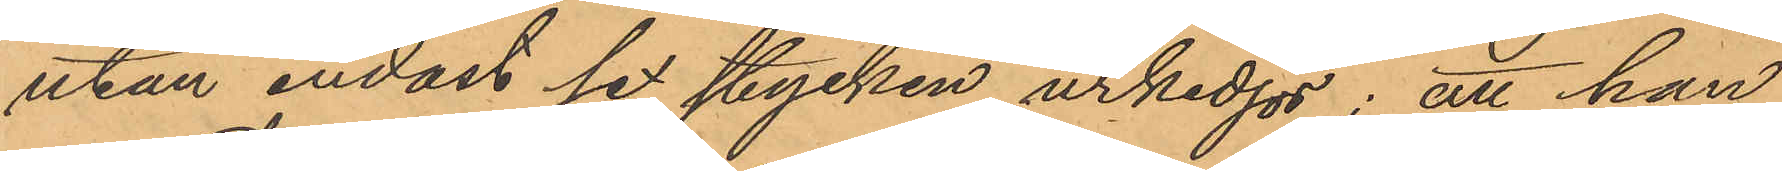utan endast sex stycken urkedjor; att han
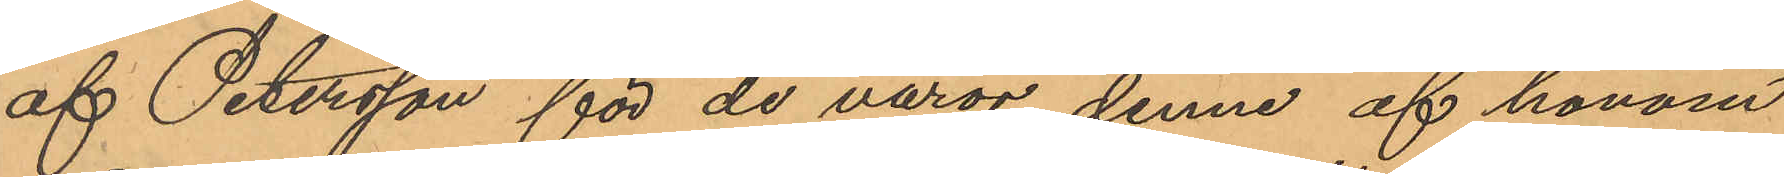af Petersson för de varor denne af honom
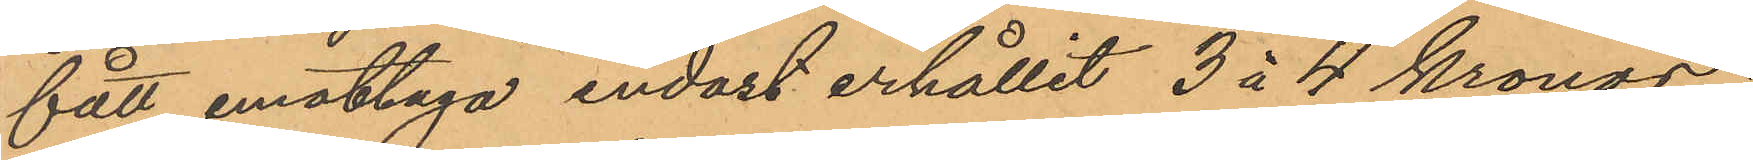fått emottaga endast erhållit 3 á 4 kronor;
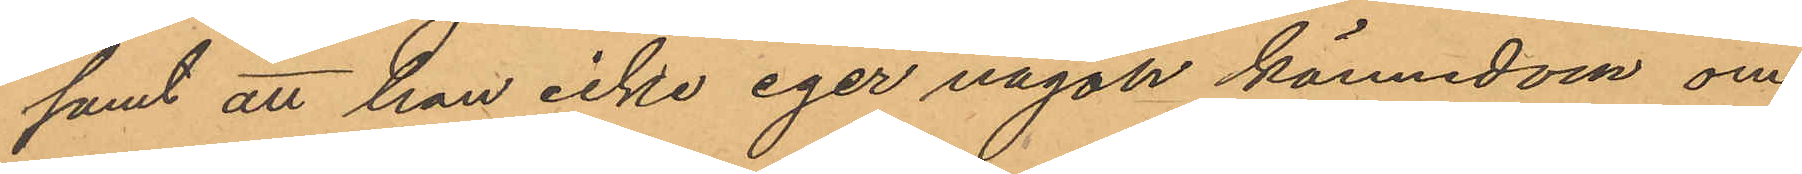samt att han icke eger någon kännedom om
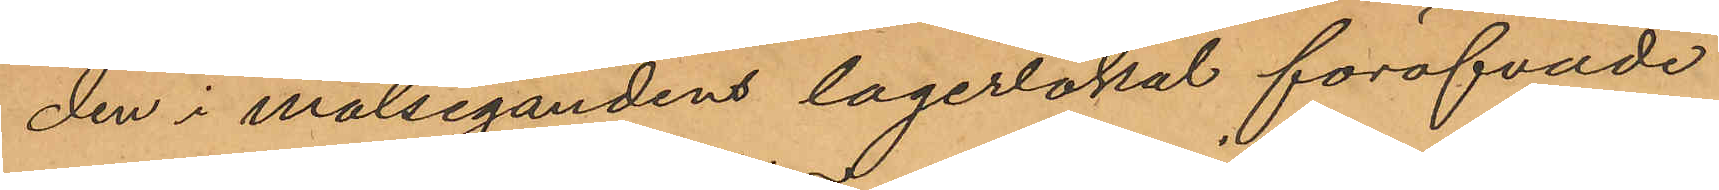den i målsegandens lagerlokal föröfvade
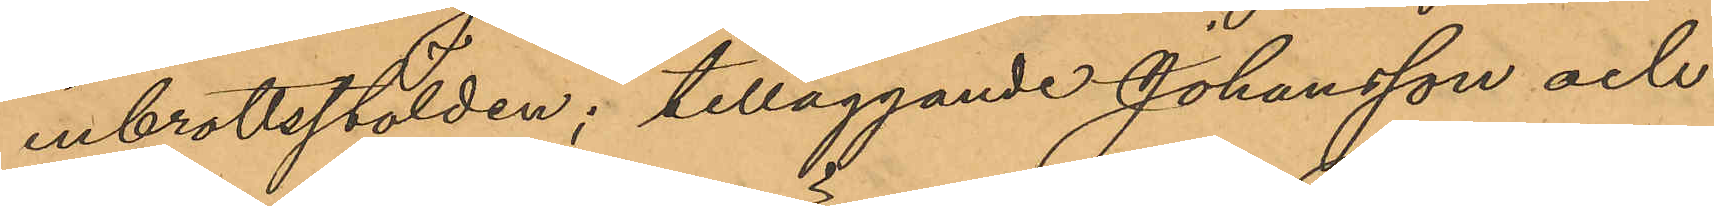inbrottsstölden; tilläggande Johansson och
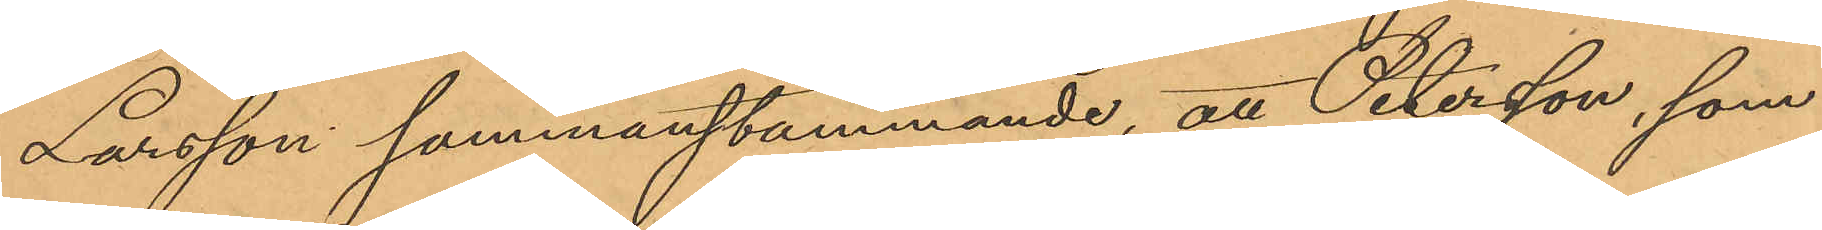Larsson sammanstämmande, att Petersson, som
